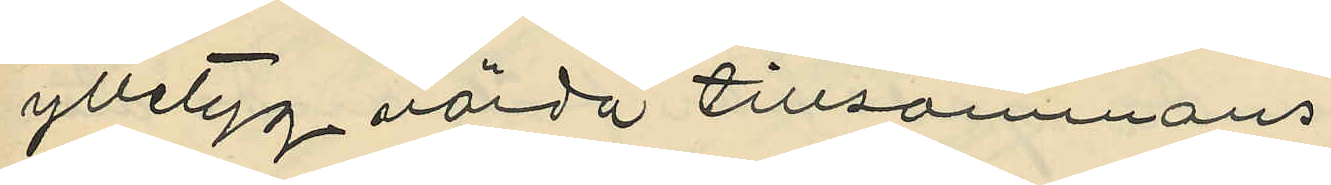ylletyg värda tillsammans
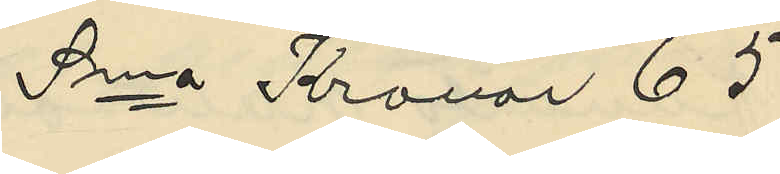Sma Kronor 65
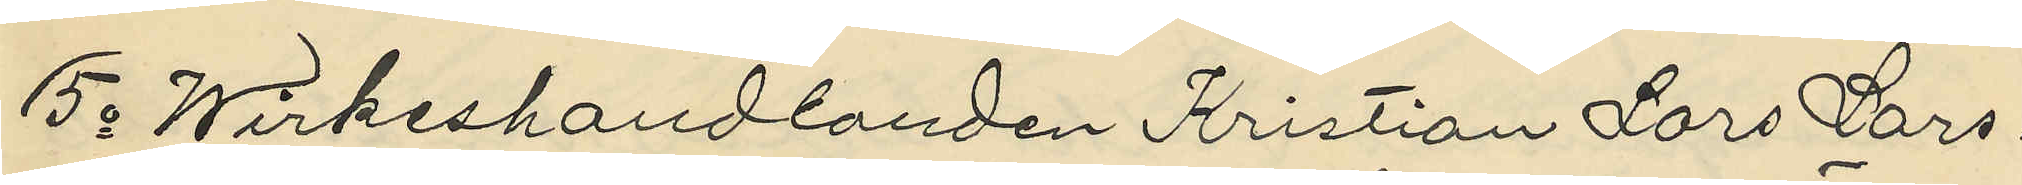5o Wirkeshandlanden Kristian Lars Lars¬
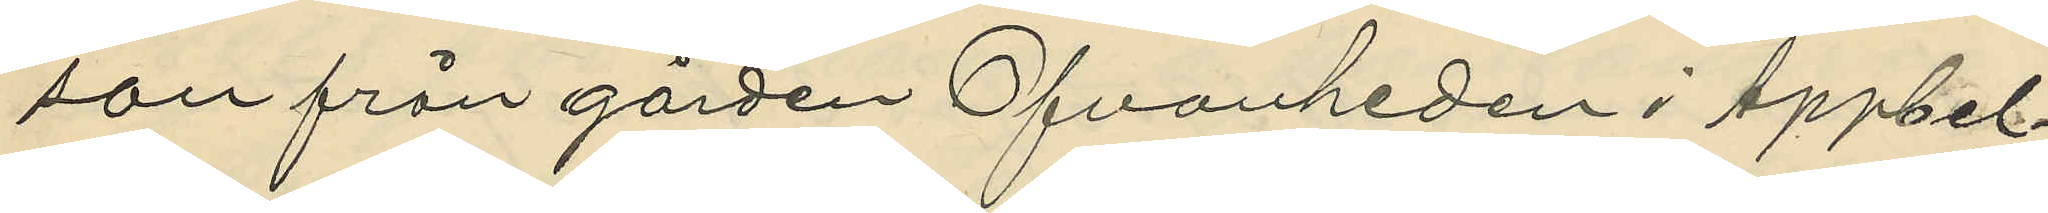son från gården Ofvanheden i Äppbel¬
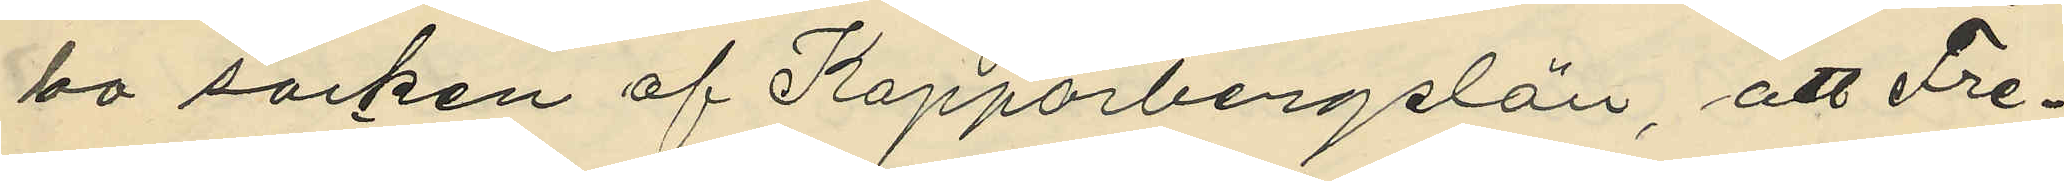bo socken af Kopparbergslän, att Fre¬
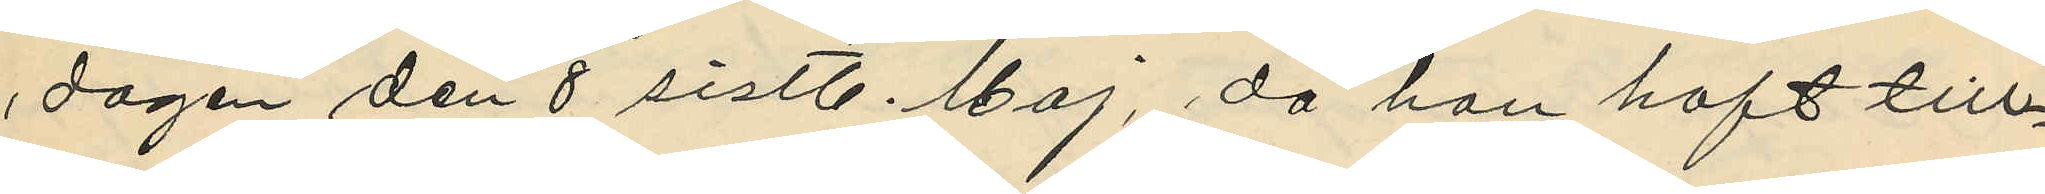dagen den 8 sistl. Maj, då han haft till¬
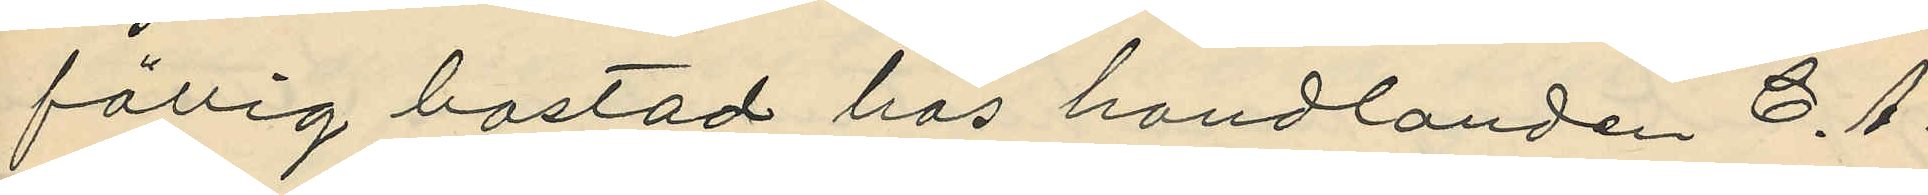fällig bostad hos handlanden C. A.
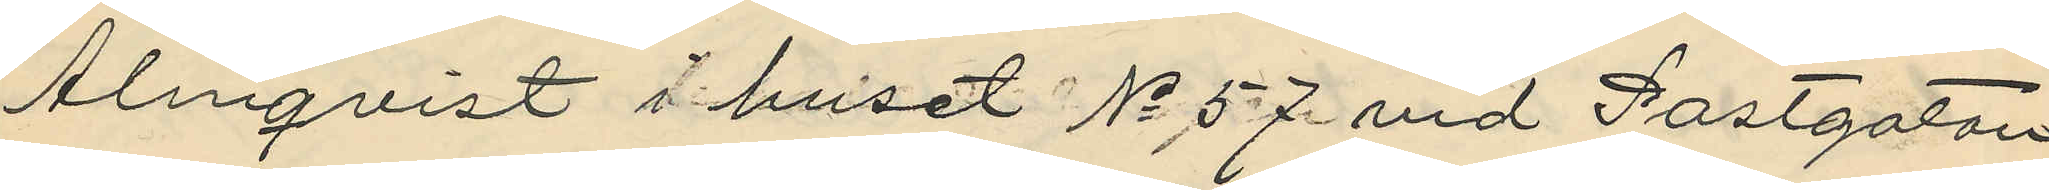Almqvist i huset No 57 vid Postgatan
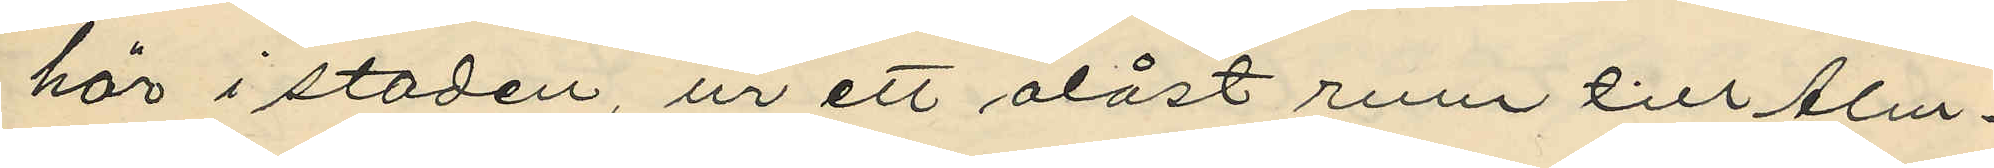här i staden, ur ett olåst rum till Alm¬
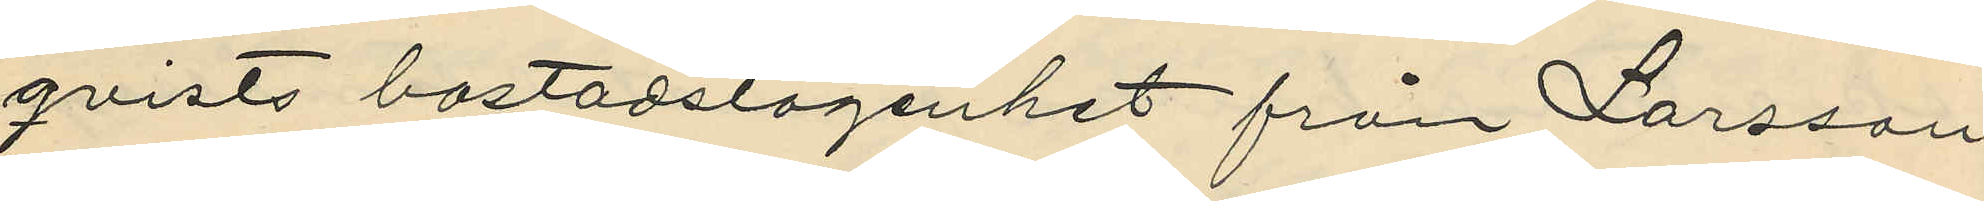qvists bostadslägenhet från Larsson
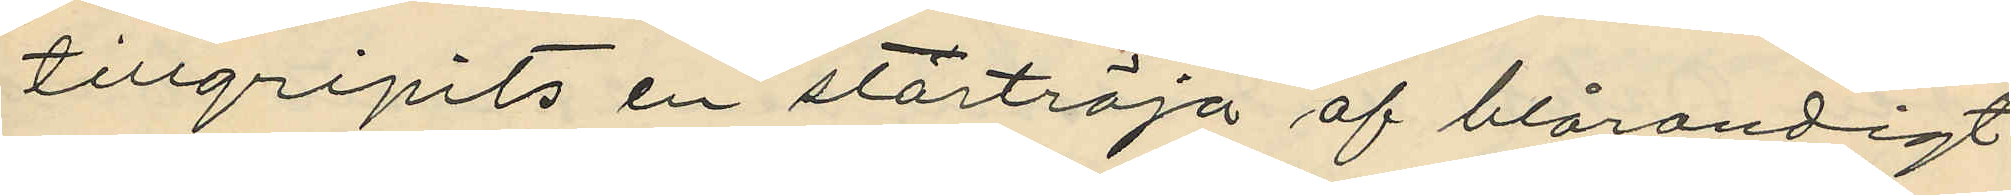tillgripits en stortröja af blårandigt
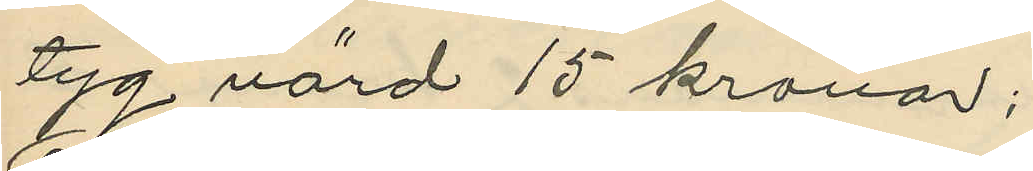tyg värd 15 kronor;
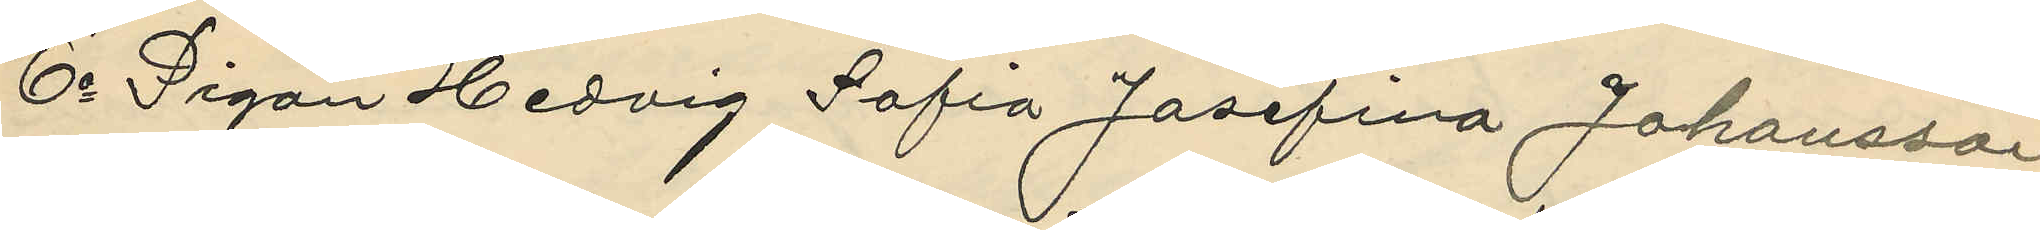6o Pigan Hedvig Sofia Josefina Johansson
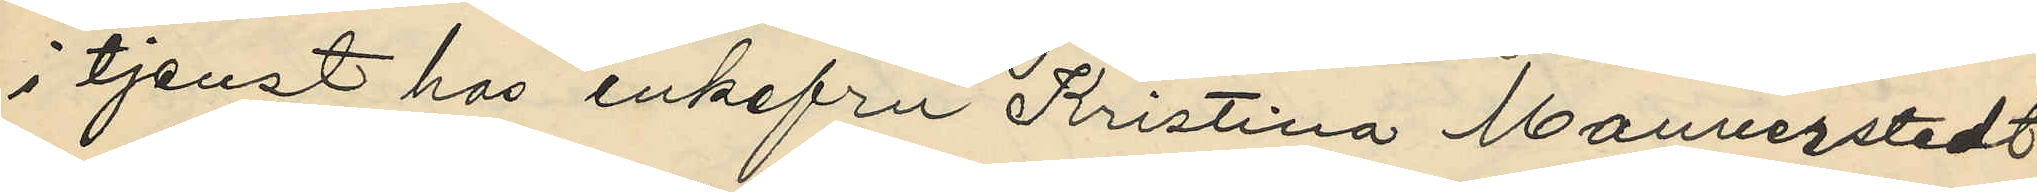i tjenst hos enkefru Kristina Mannerstedt
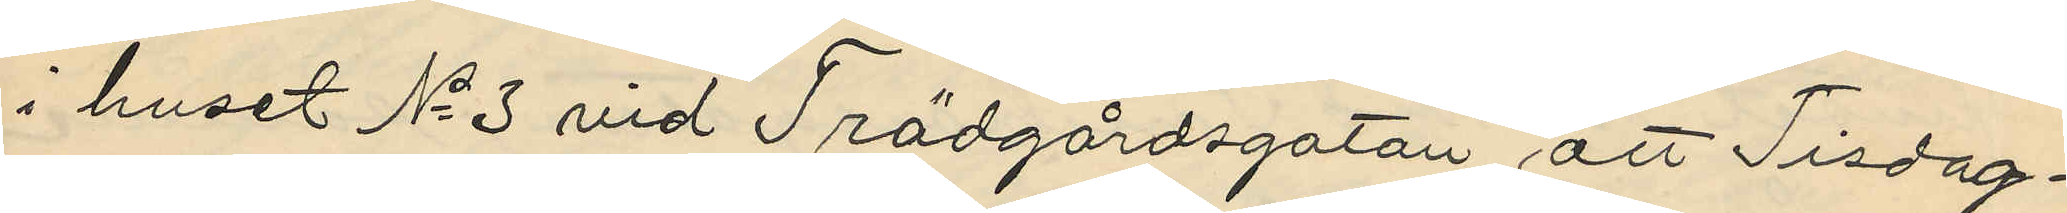i huset No 3 vid Trädgårdsgatan, att Tisdag¬
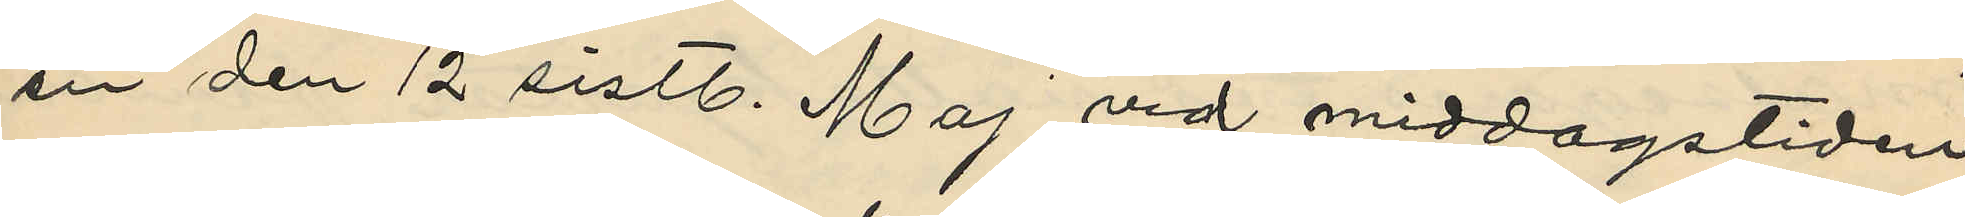en den 12 sistl. Maj vid middagstiden
